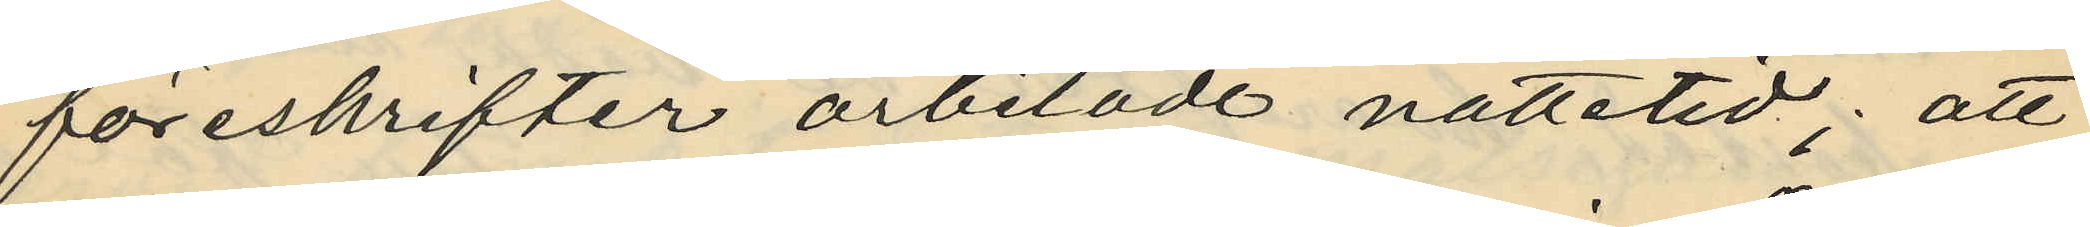föreskrifter arbetade nattetid; att
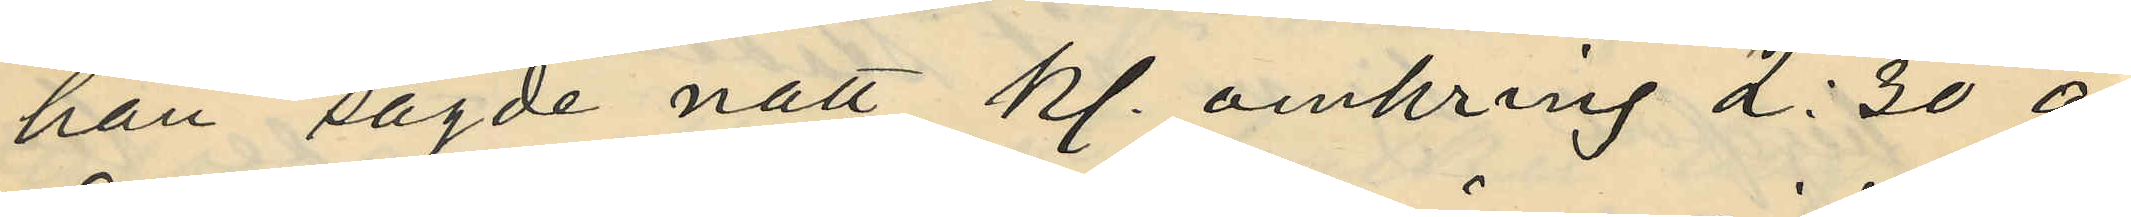han sagde natt kl. omkring 2:30 å
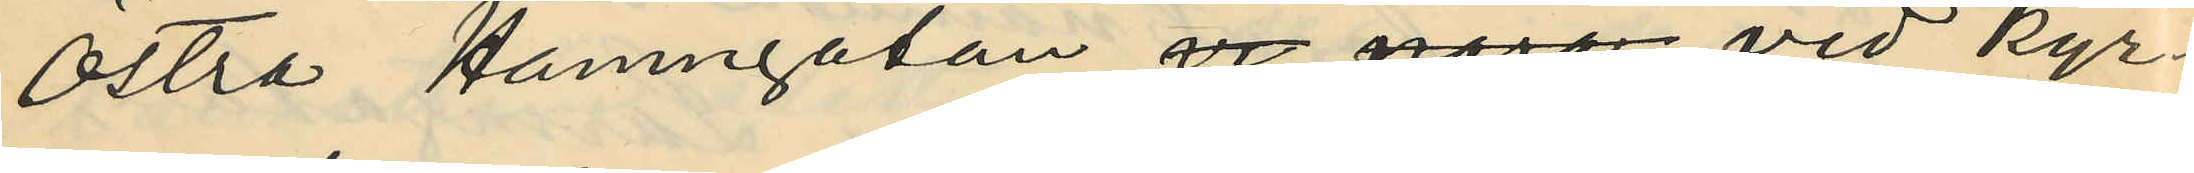Östra Hamngatan vid nära vid Kyr¬
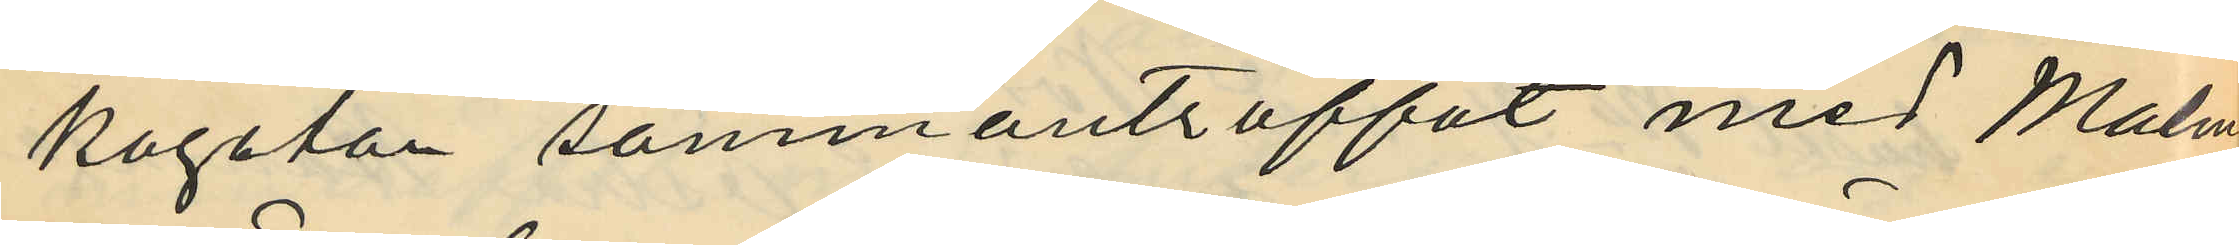kogatan sammanträffat med Malm¬
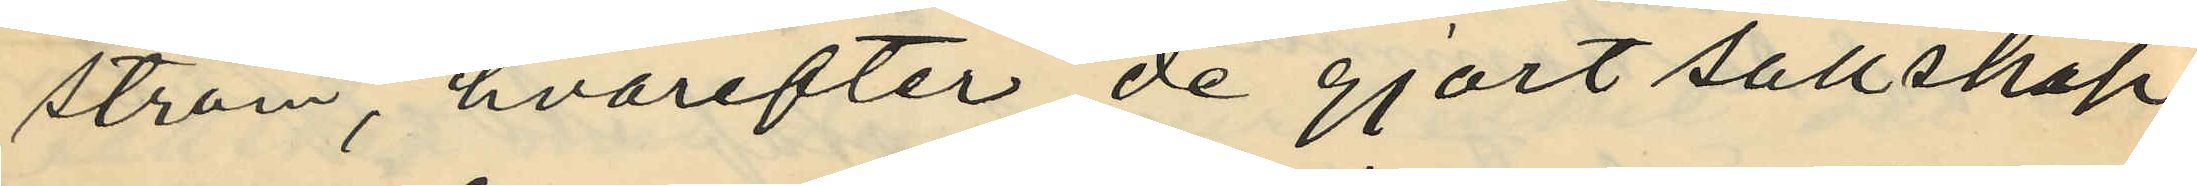ström, hvarefter de gjort sällskap
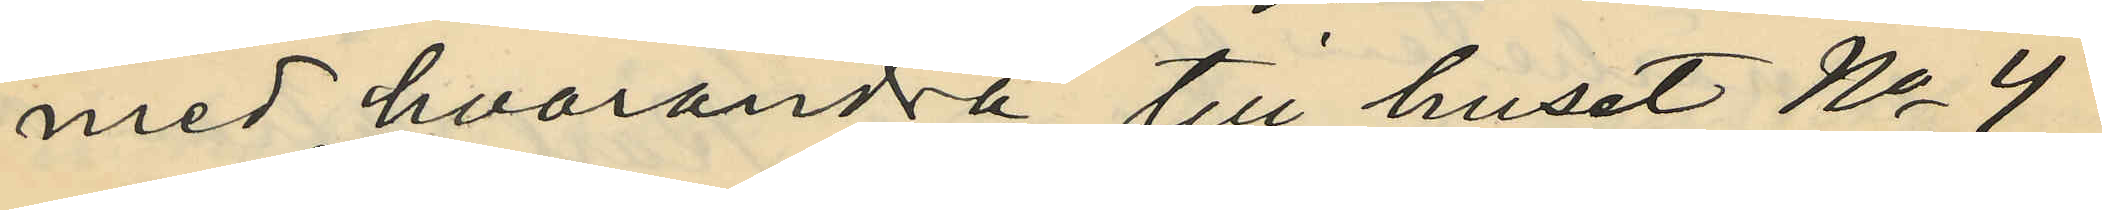med hvarandra till huset No 4
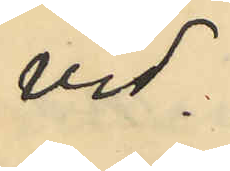vid
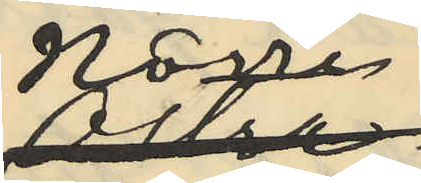Norra
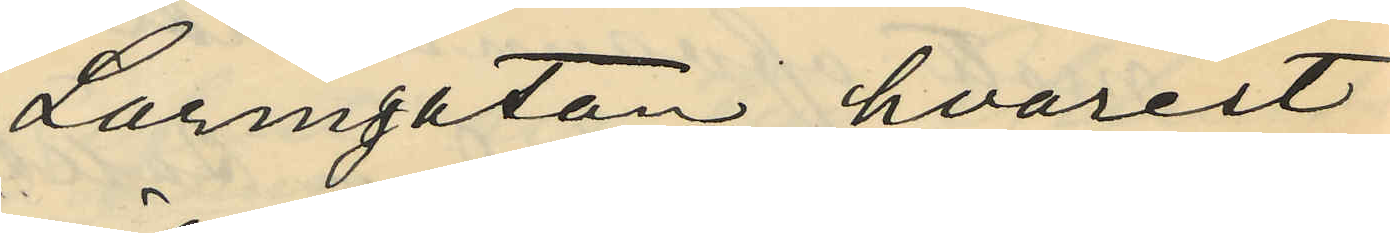Larmgatan; hvarest
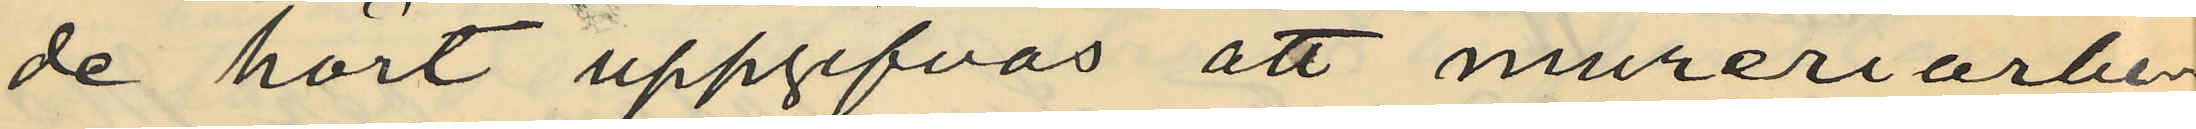de hört uppgifvas att mureriarbe¬
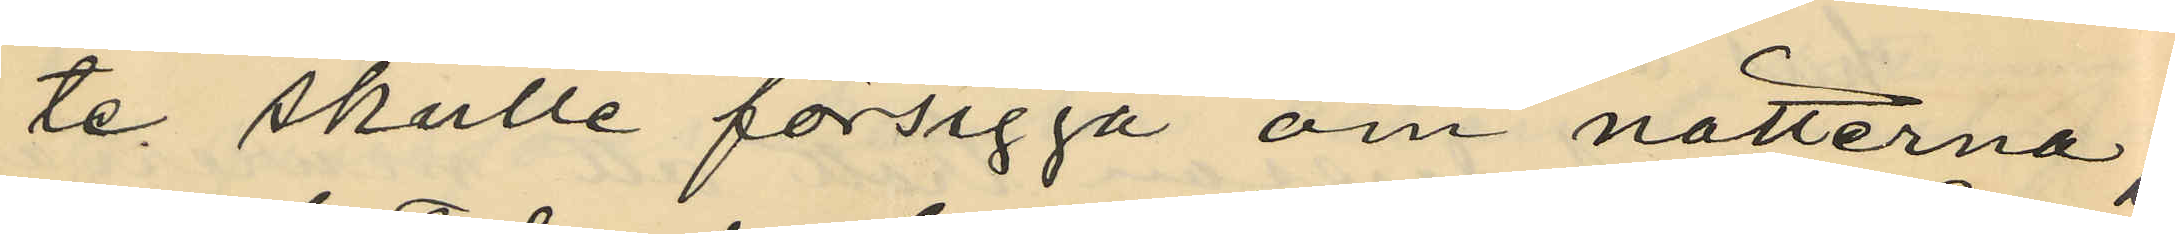te skulle försiggå om nätterna,
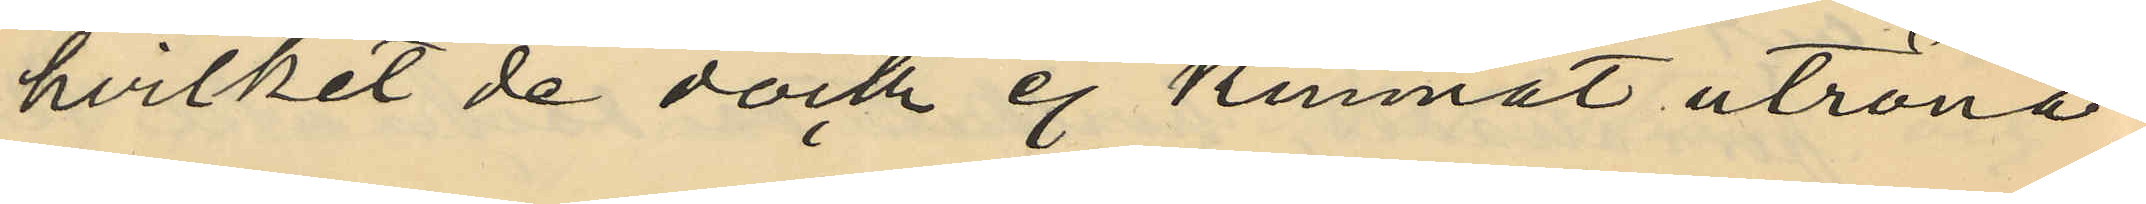hvilket de dock ej kunnat utröna;
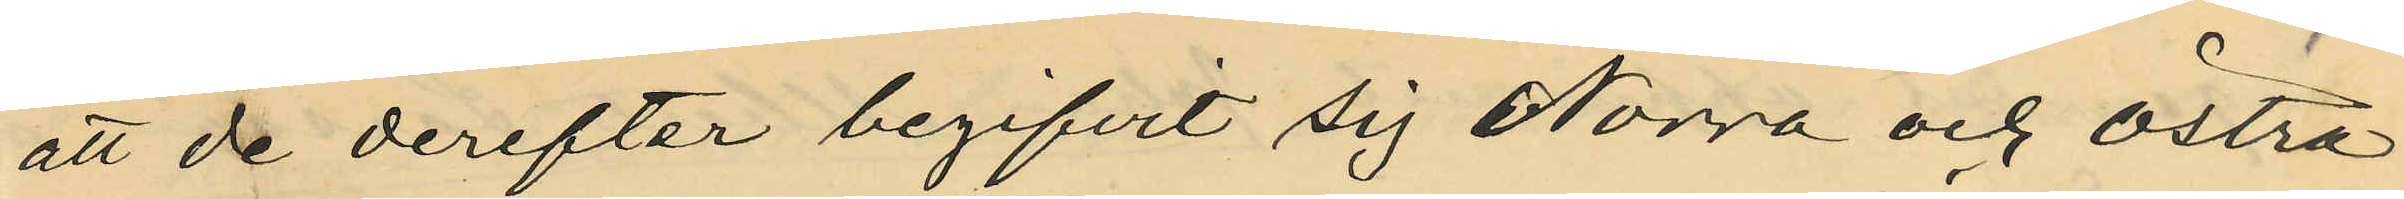att de derefter begifvit sig Norra och Östra
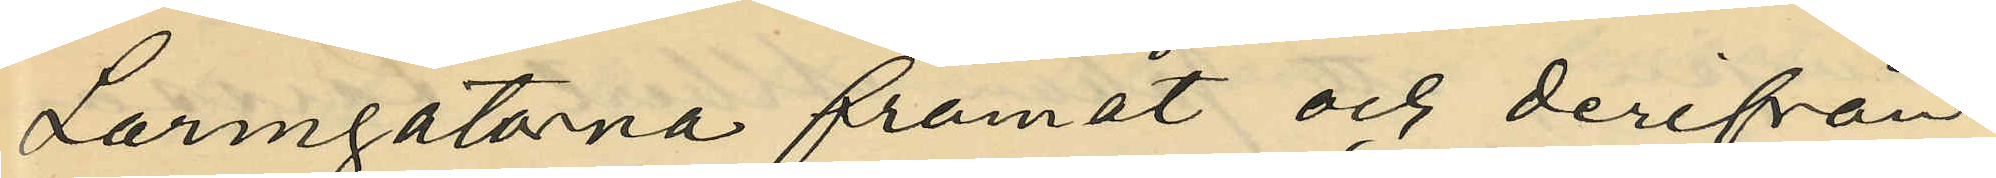Larmgatorna framåt och derifrån
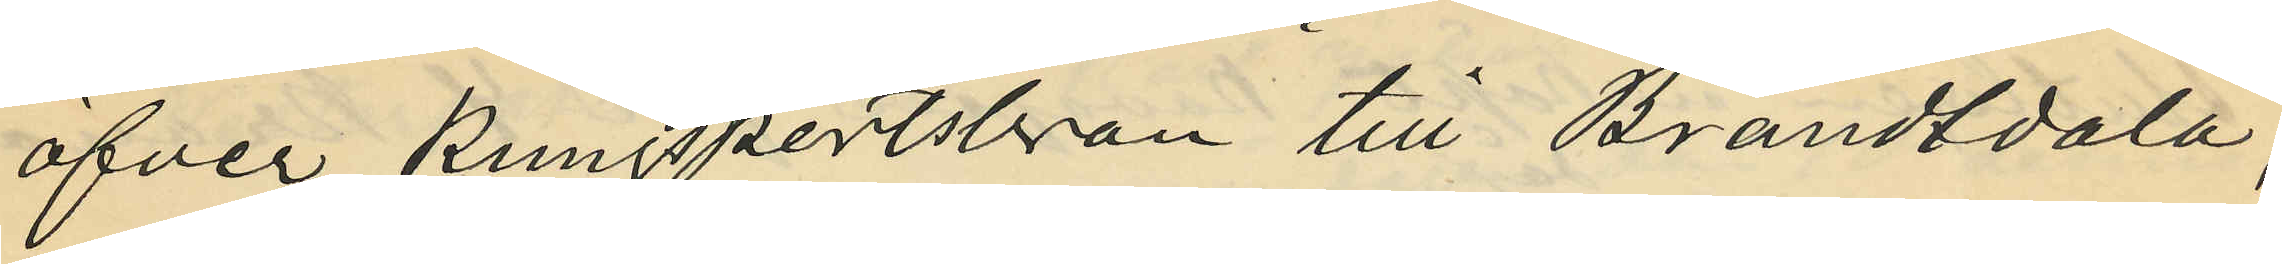öfver Kungsportsbron till Brandtdala,
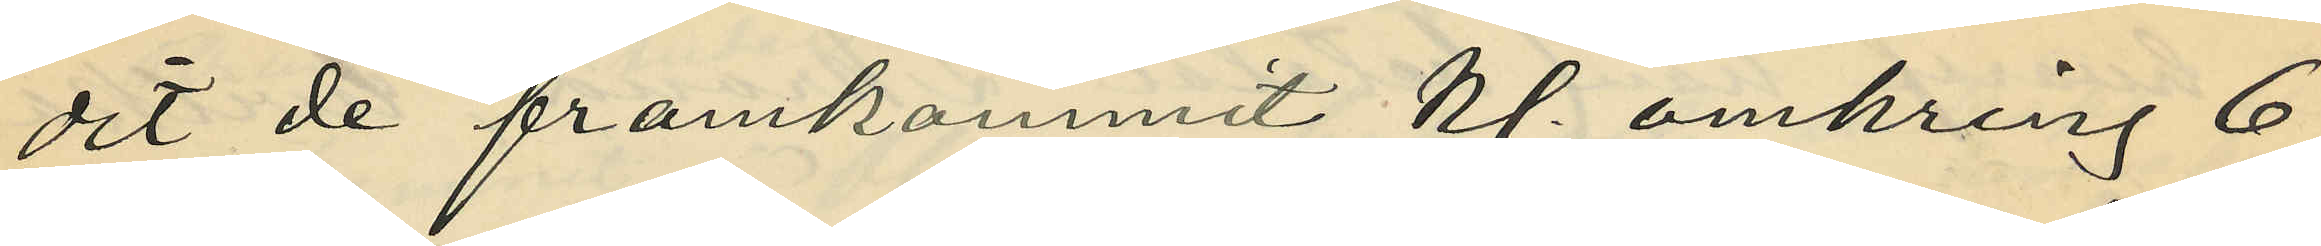dit de framkommit kl. omkring 6
